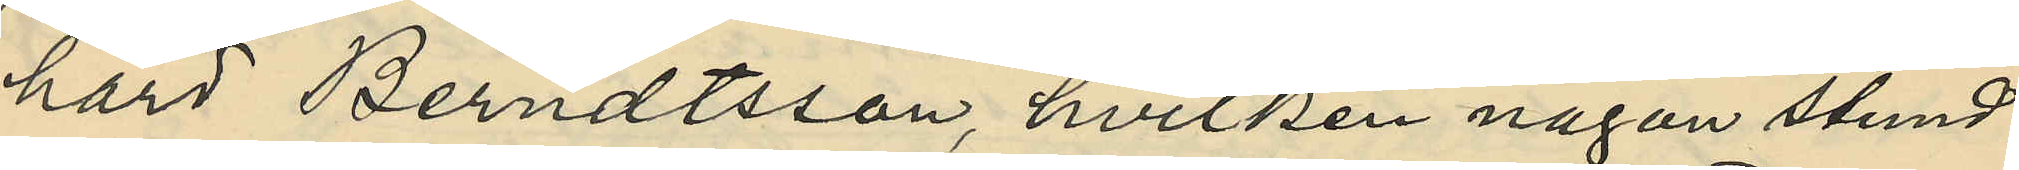hard Berndtsson, hvilken någon stund
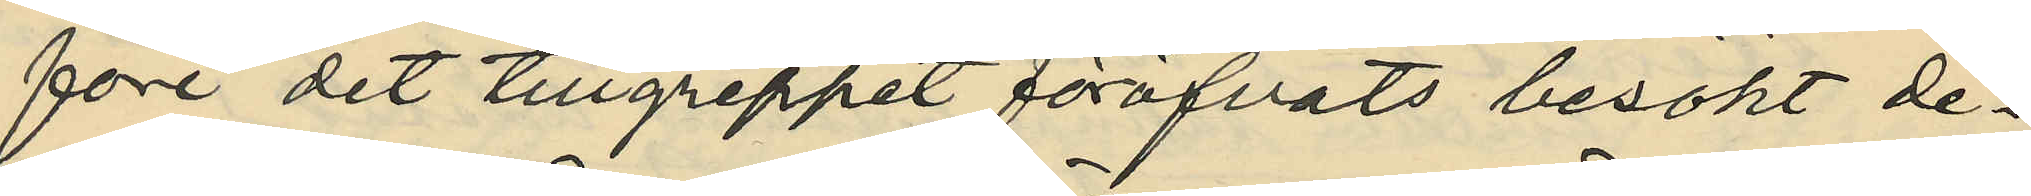före det tillgreppet föröfvats besökt de¬
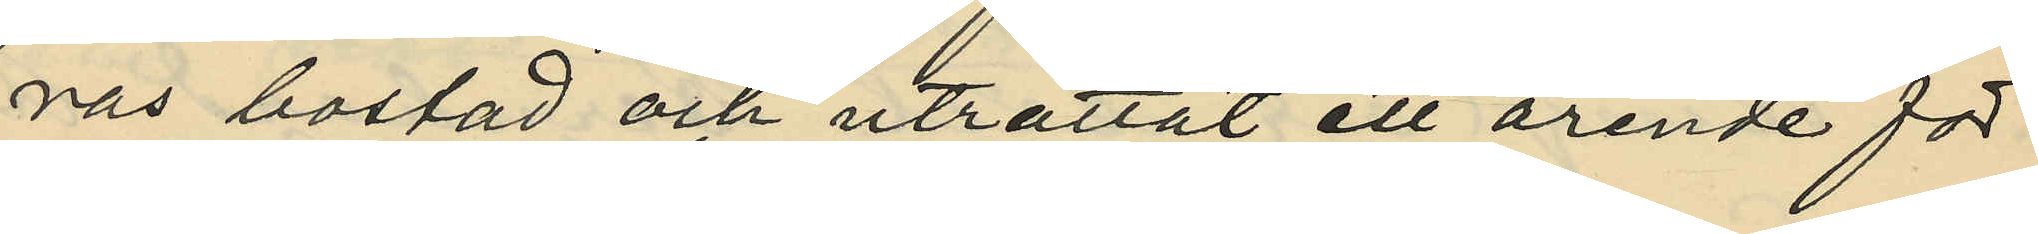ras bostad och uträttat ett ärende för
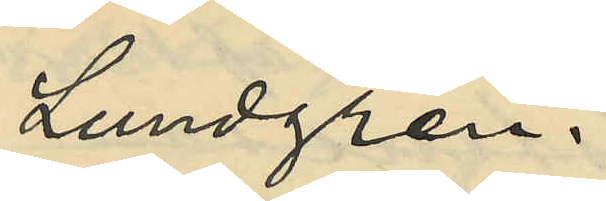Lundgren.
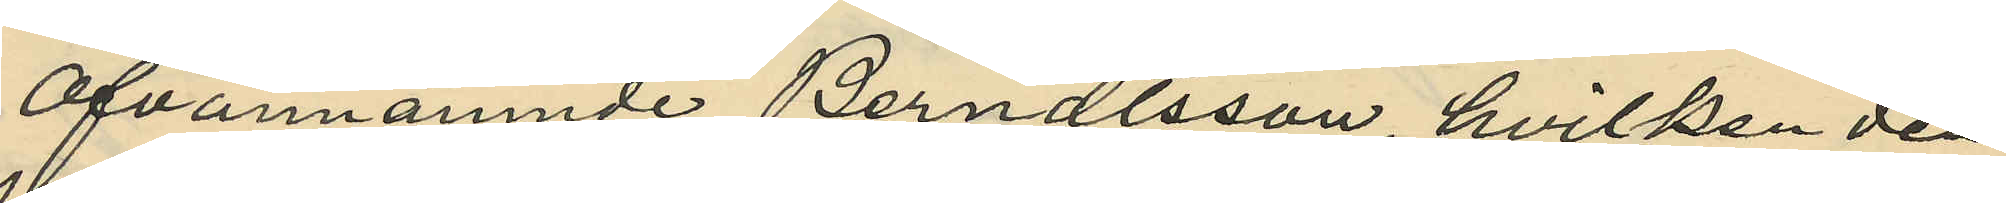Ofvannämnde Berndtsson, hvilken den
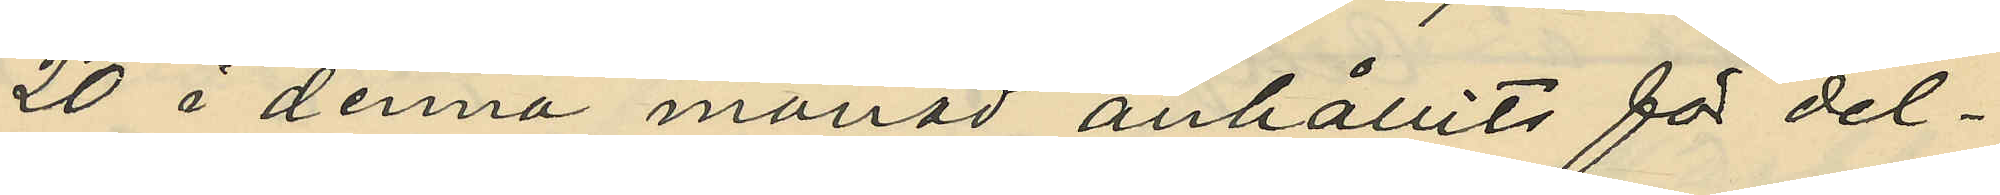20 i denna månad anhållits för del¬
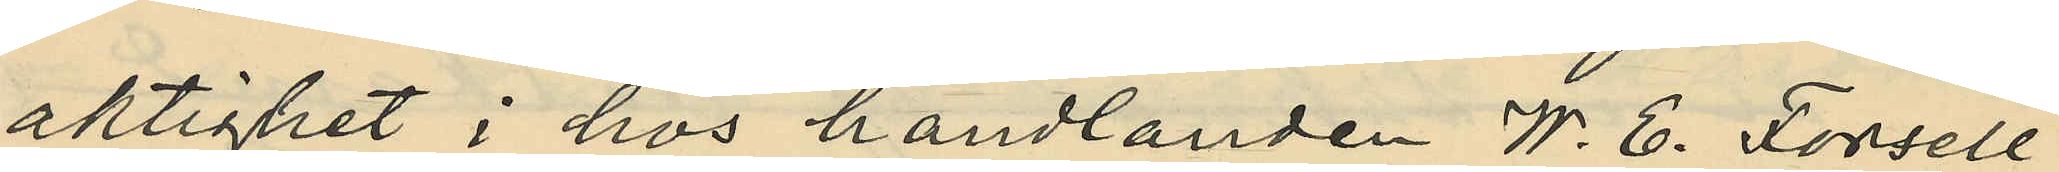aktighet i hos handlanden W. E. Forsell
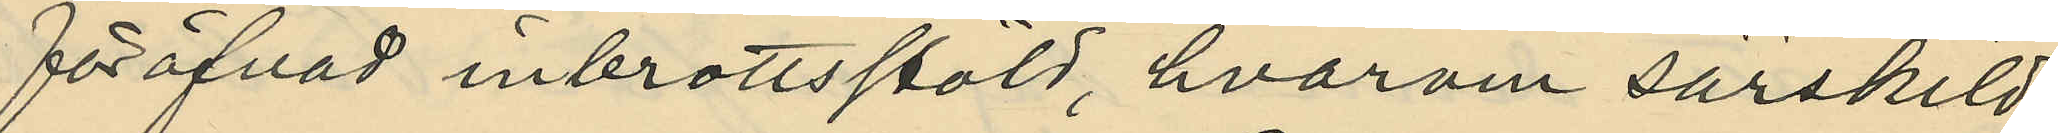föröfvad inbrottsstöld, hvarom särskild
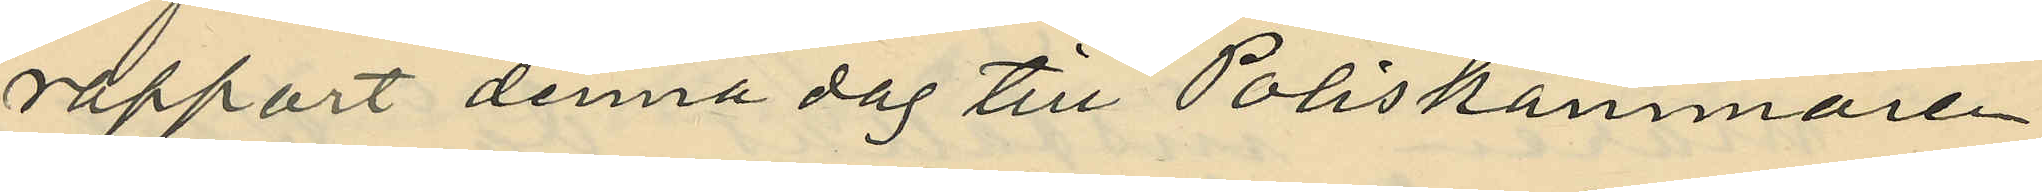rapport denna dag till Poliskammaren
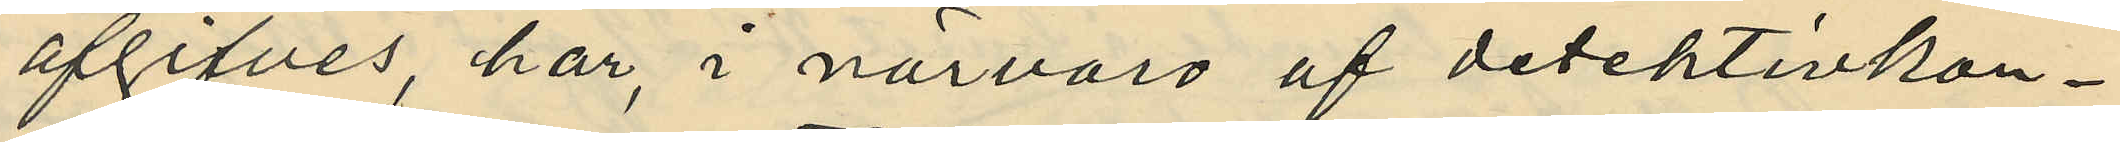afgifves, har i närvaro af detektivkon¬
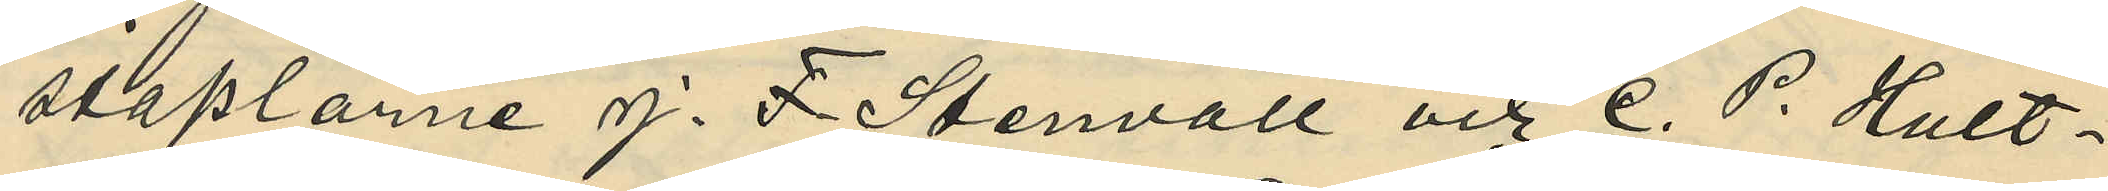staplarne J. F. Stenvall och C. P. Hult¬
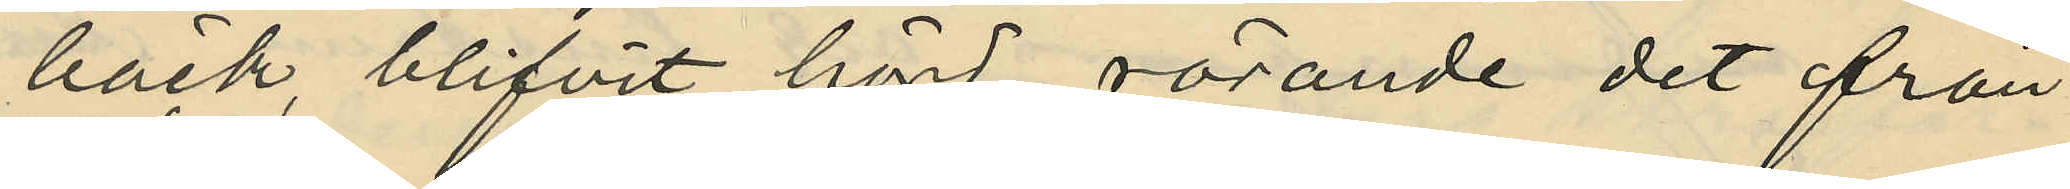bäck, blifvit hörd rörande det från
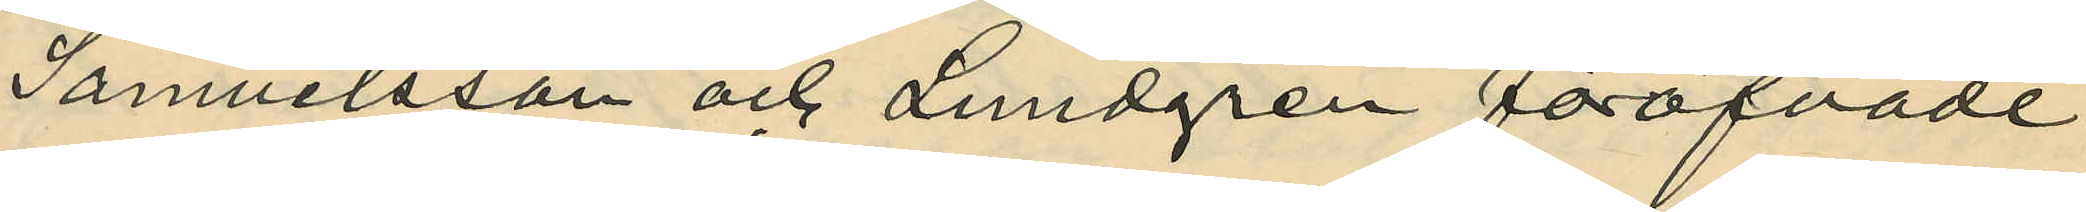Samuelsson och Lundgren föröfvade
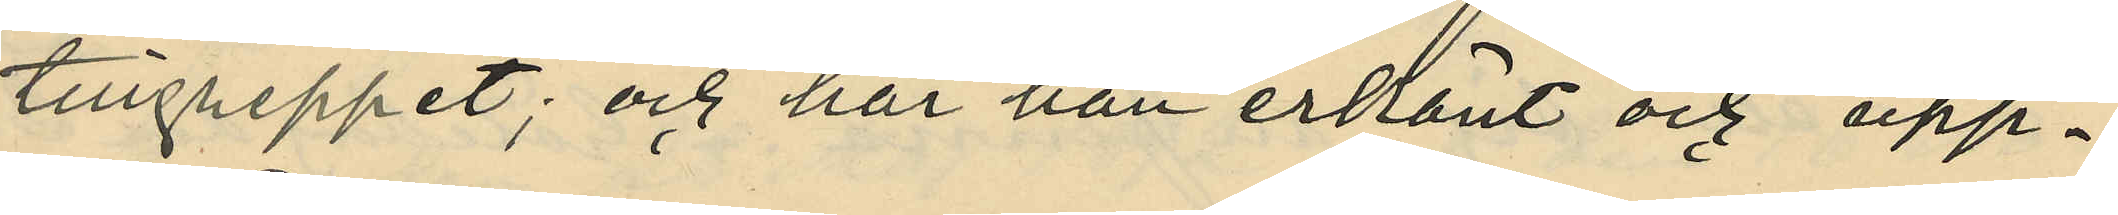tillgreppet; och har han erkänt och upp¬
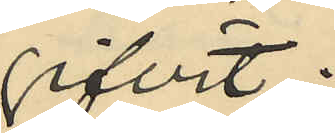gifvit:
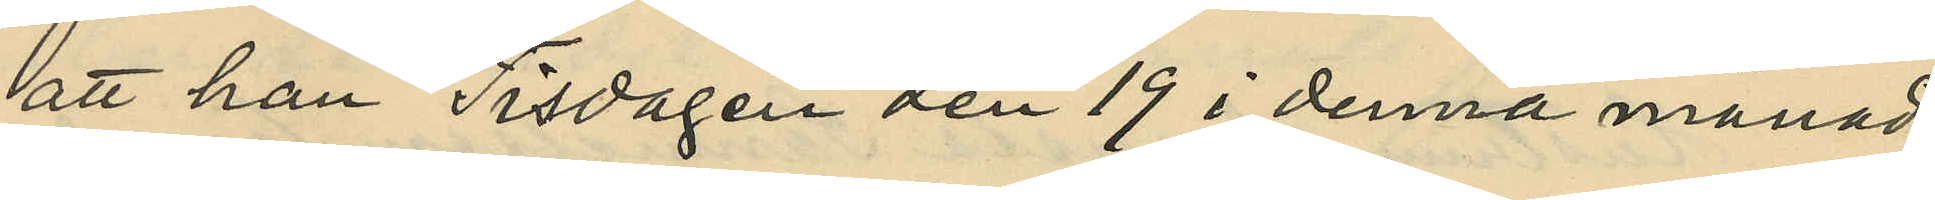att han Tisdagen den 19 i denna månad
